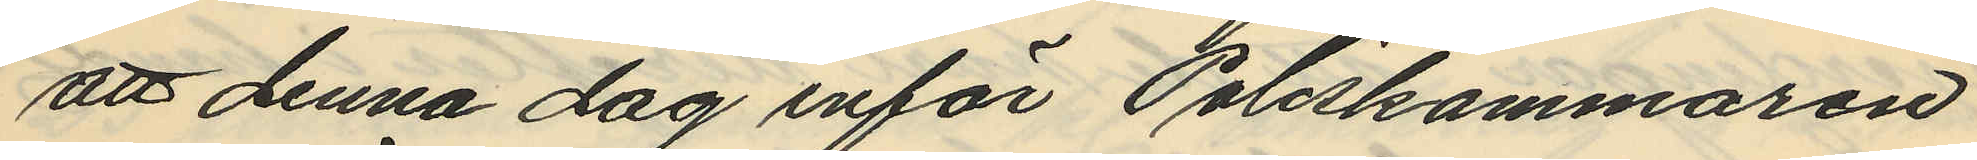att denna dag inför Poliskammaren
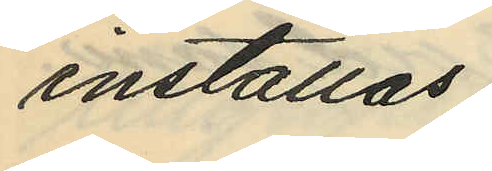inställas.
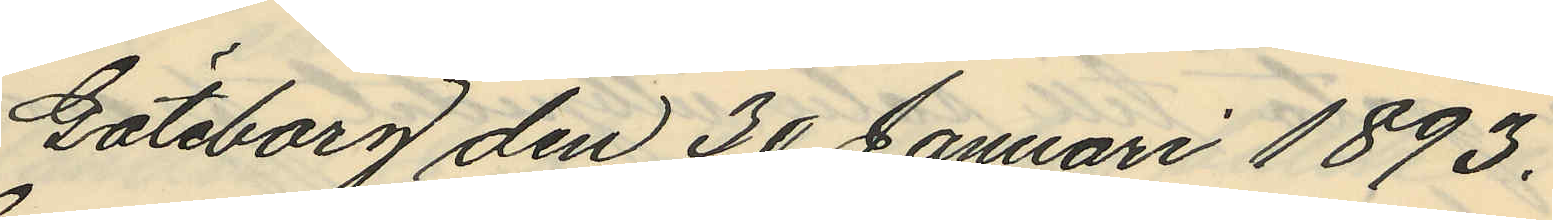Göteborg den 30 Januari 1893.
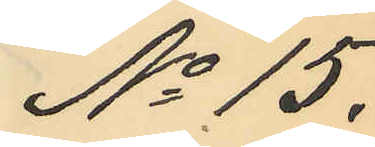No 15.
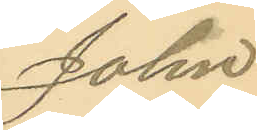John
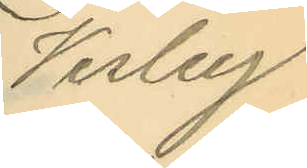Vesley
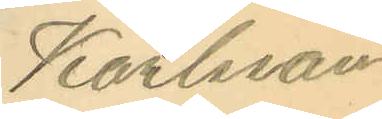Karlsson
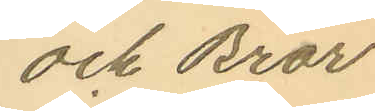och Bror
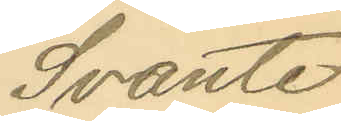Svante
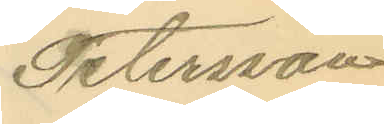Petersson
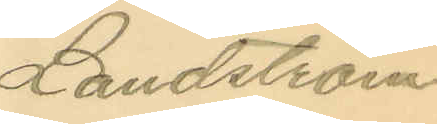Landström
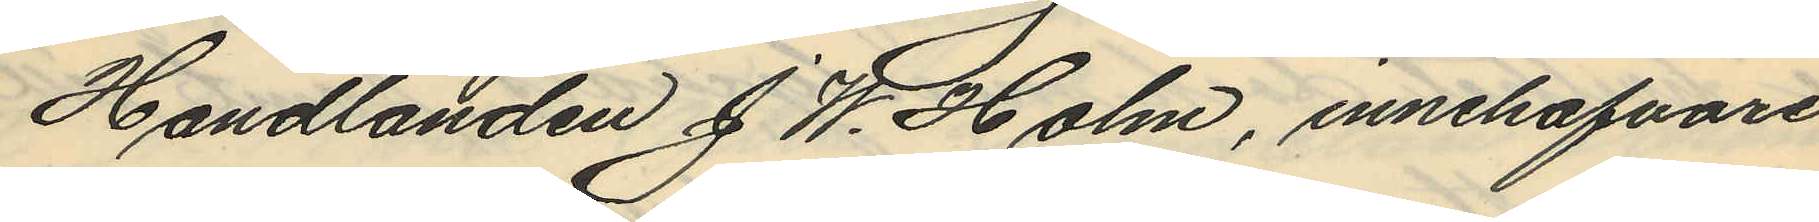Handlanden J W. Holm, innehafvare
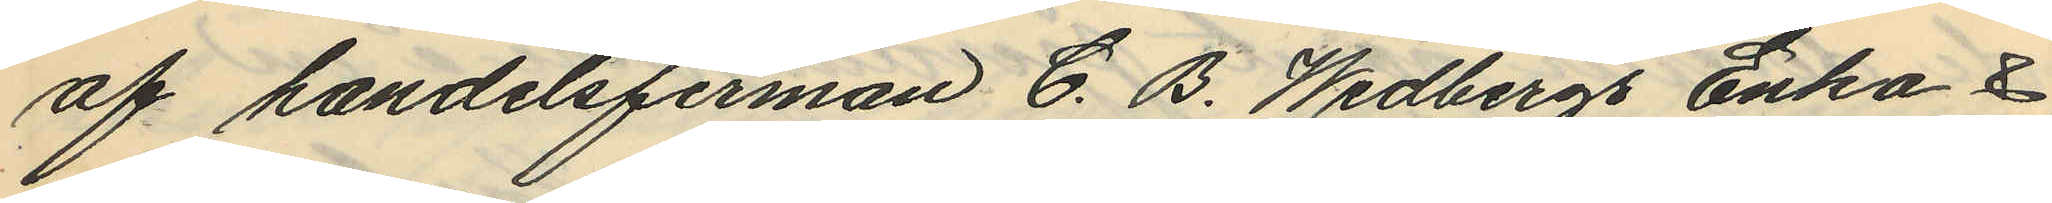af handelsfirman C. B. Wedbergs Enka &
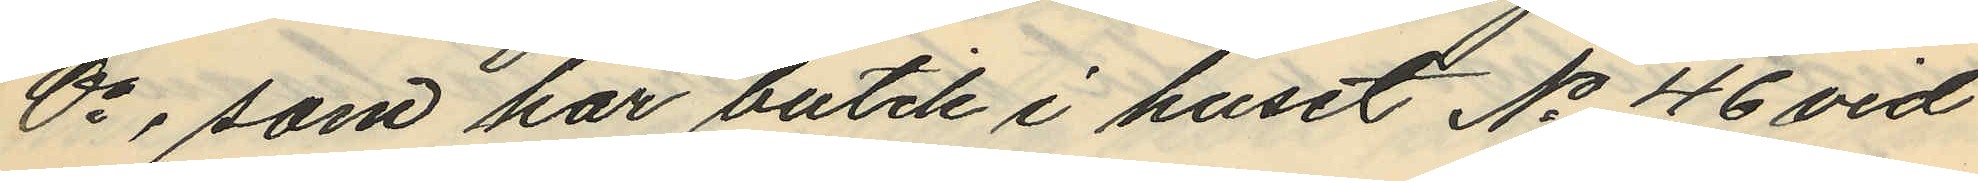Co, som har butik i huset No 46 vid
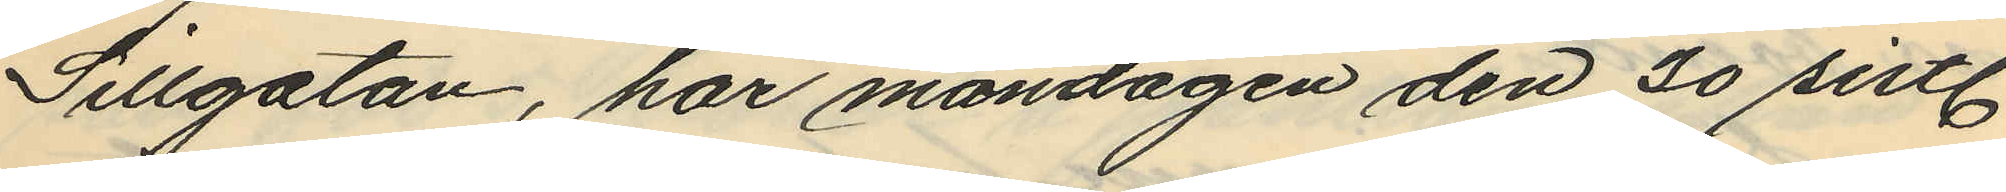Sillgatan, har måndagen den 30 sistl.
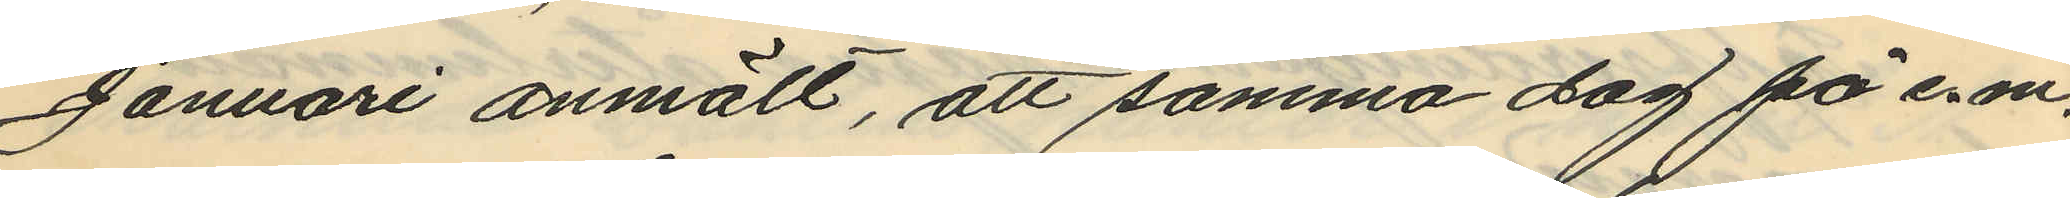Januari anmält, att samma dag på e. m.
